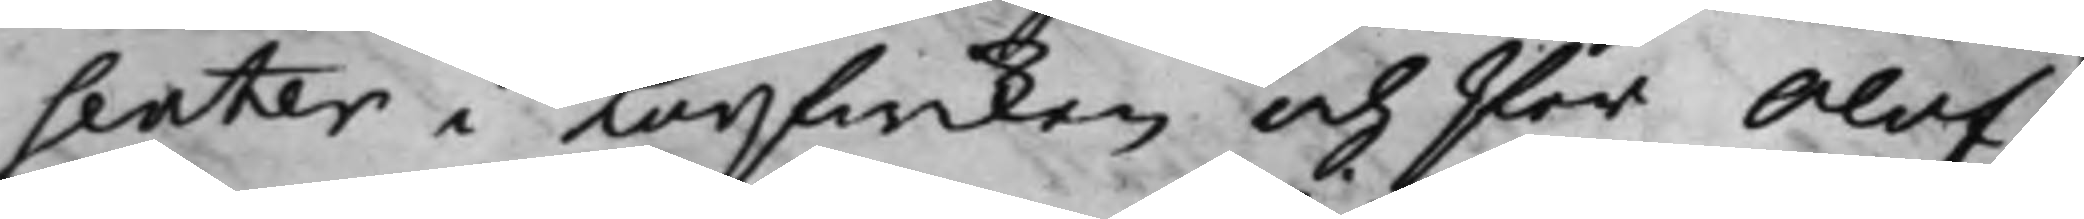senter i Korfwiken och Per Olof¬
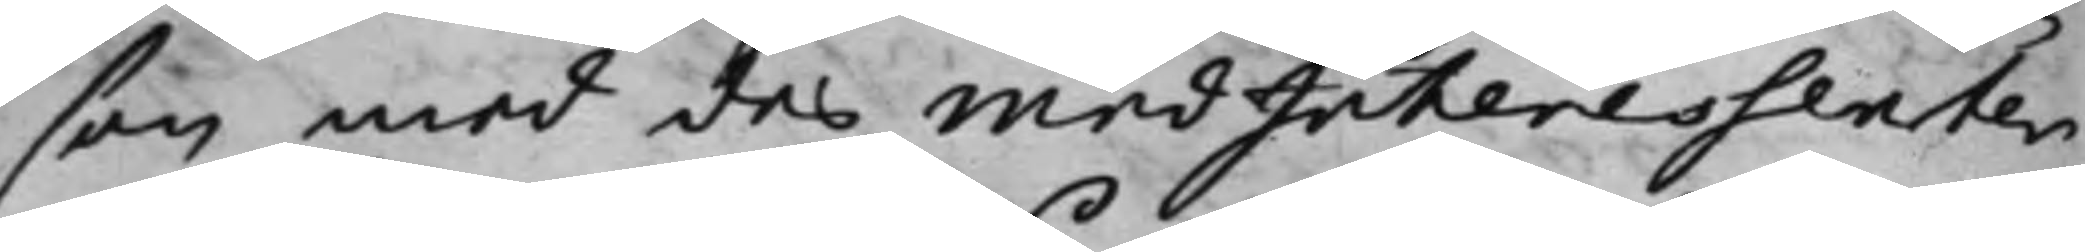Per Olofßon son med des medInteressenter
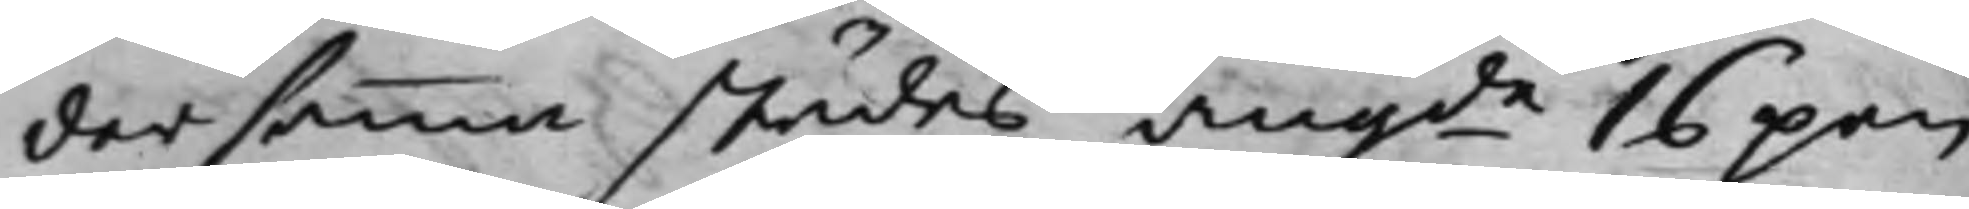dersammastädes, angde 16 pen¬
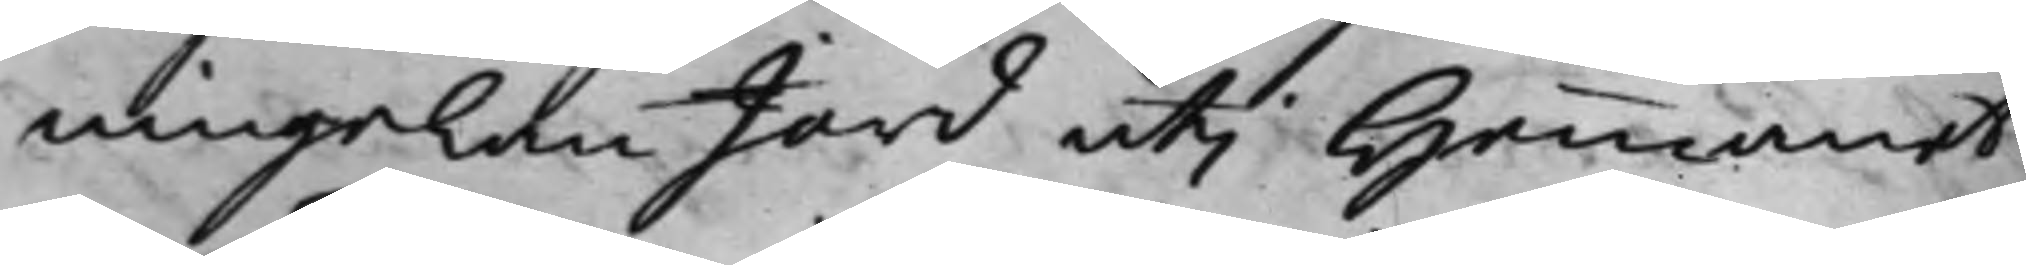ningelan Jord uti Hemmanet
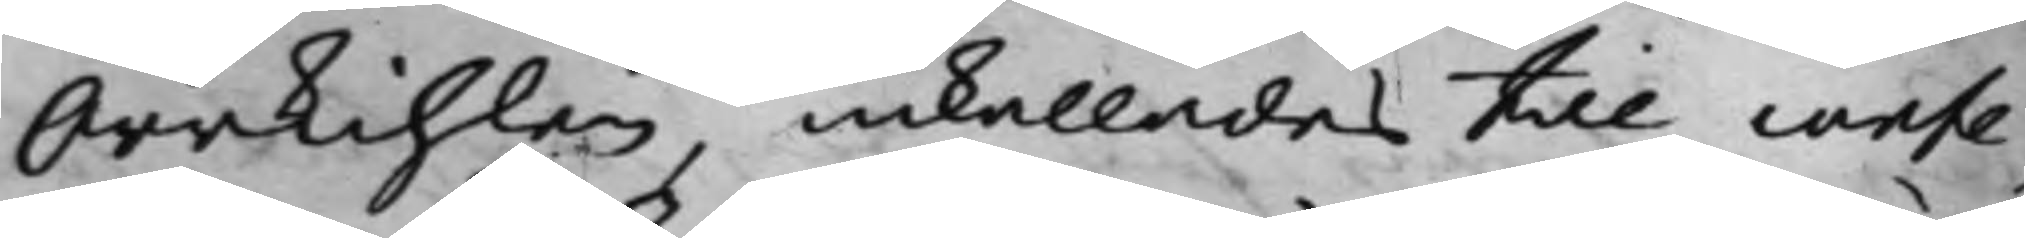Orrkihlen, inkallades till confe¬
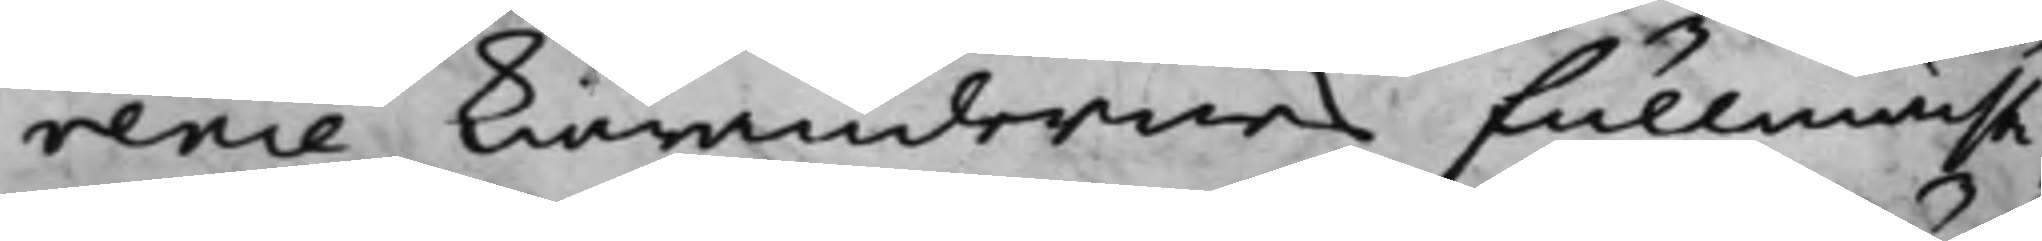rence Kiärandernes Fullmächti¬
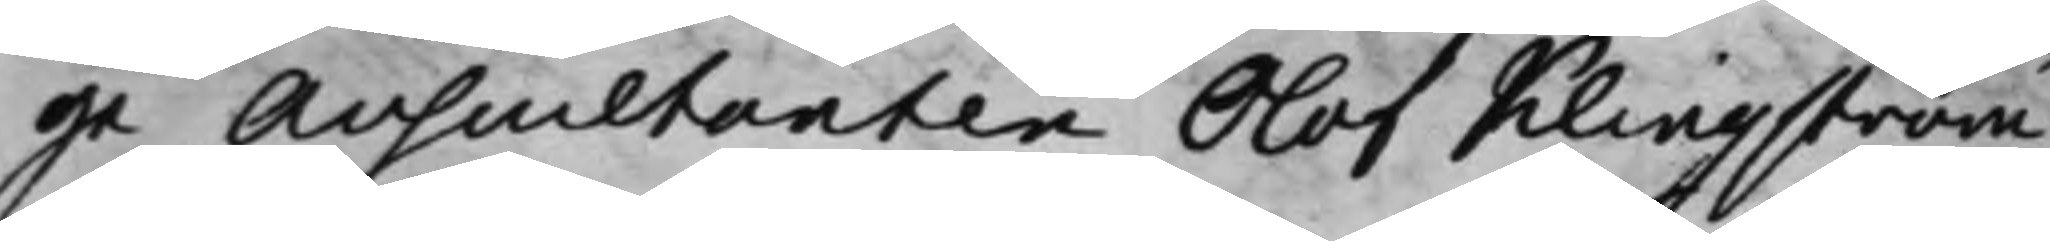ge Auscultanten Olof Klingström
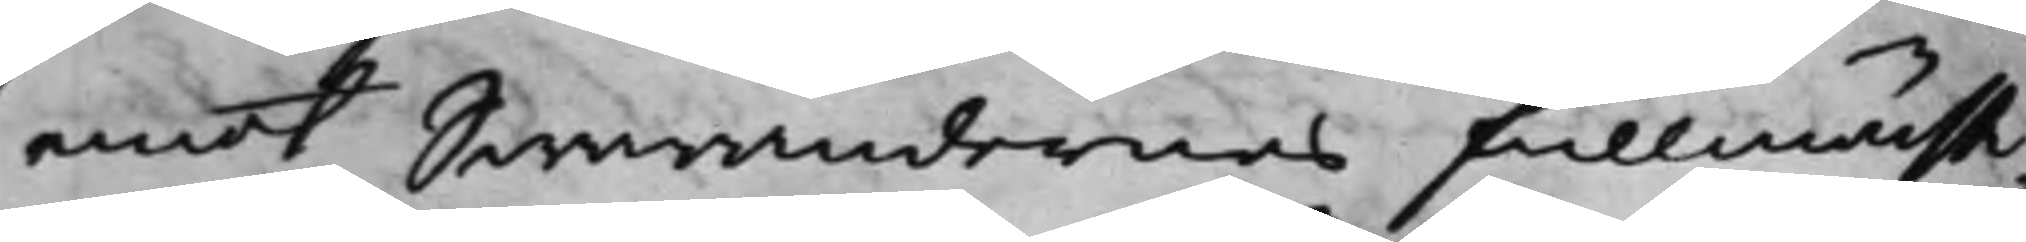emot Swarandernes Fullmächti¬
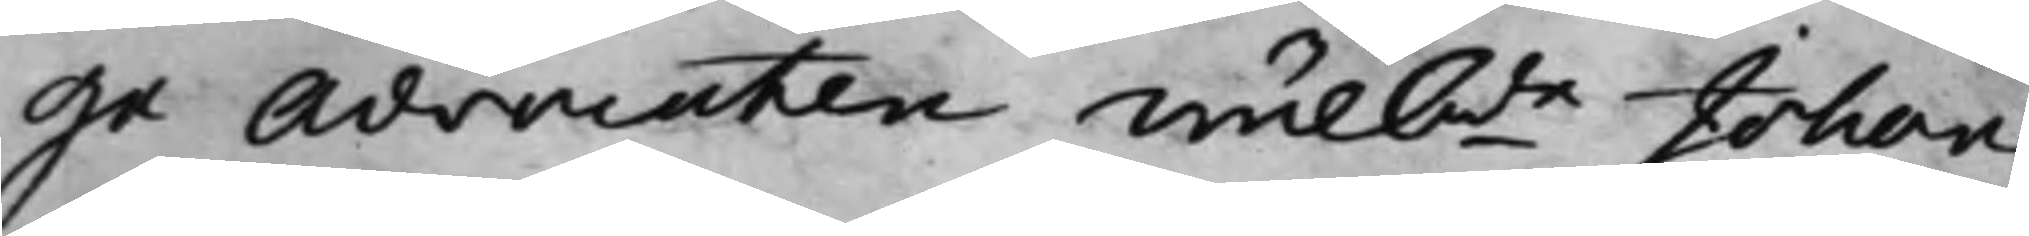ge Advocaten Wälbde Johan
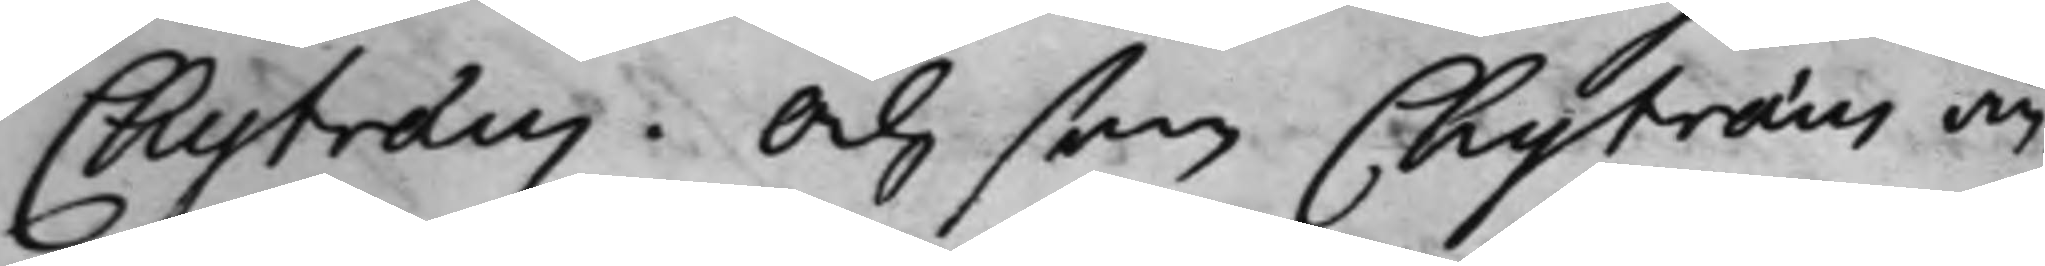Chytræus. Och som Chytræus an¬
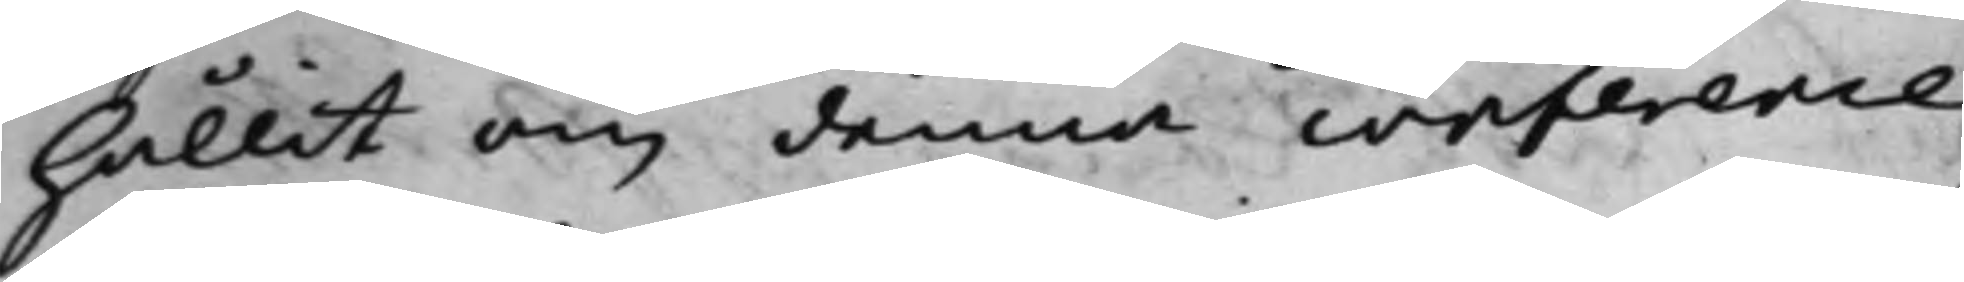hållit om denna conference,
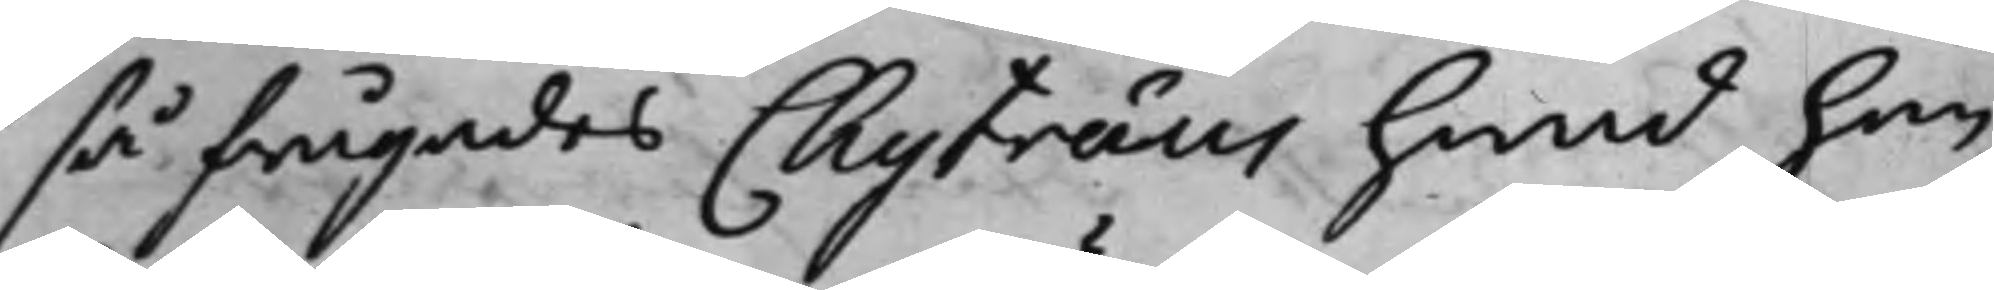så frågades Chytræus hwad han
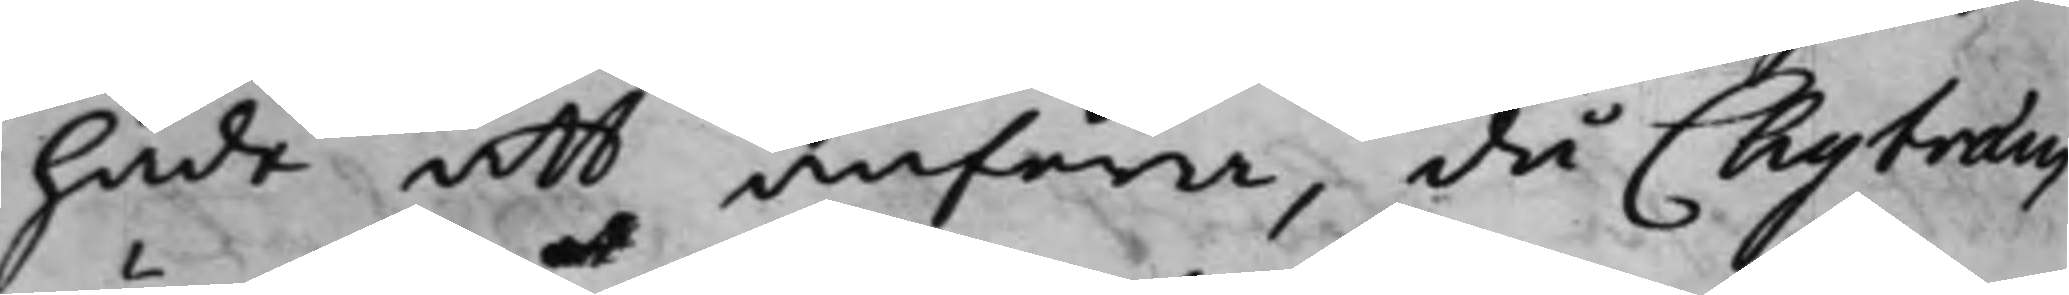hade att anföra, då Chytræus
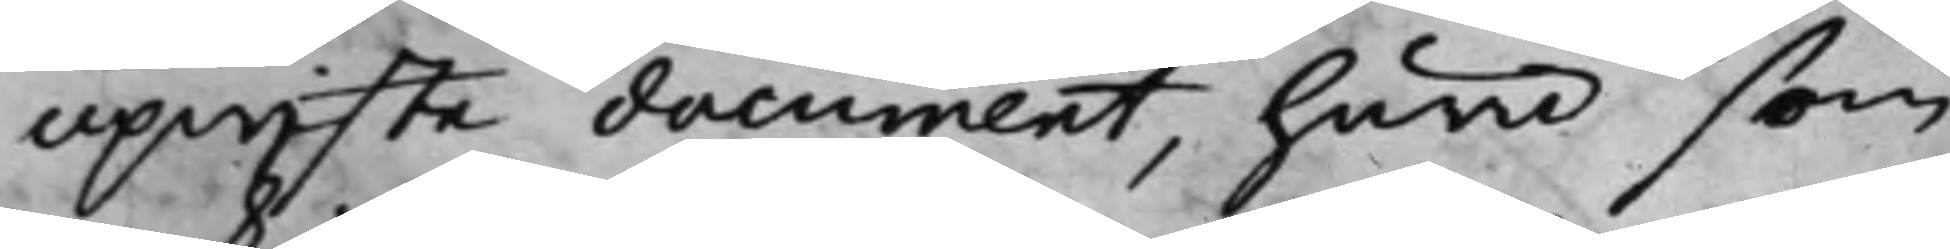upwiste document, huru som
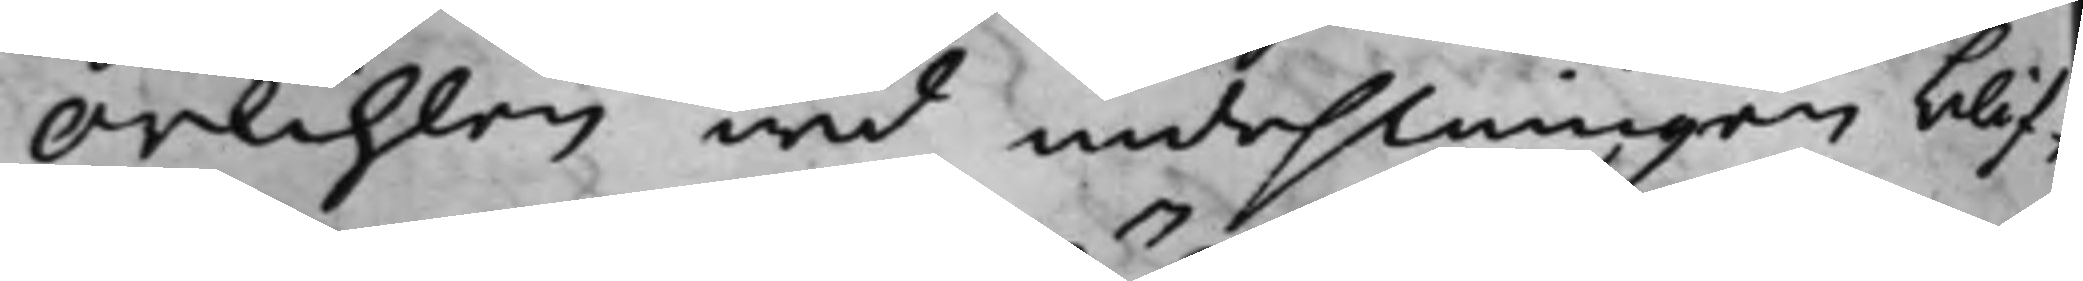Orkihlen wid indehlningen blif¬
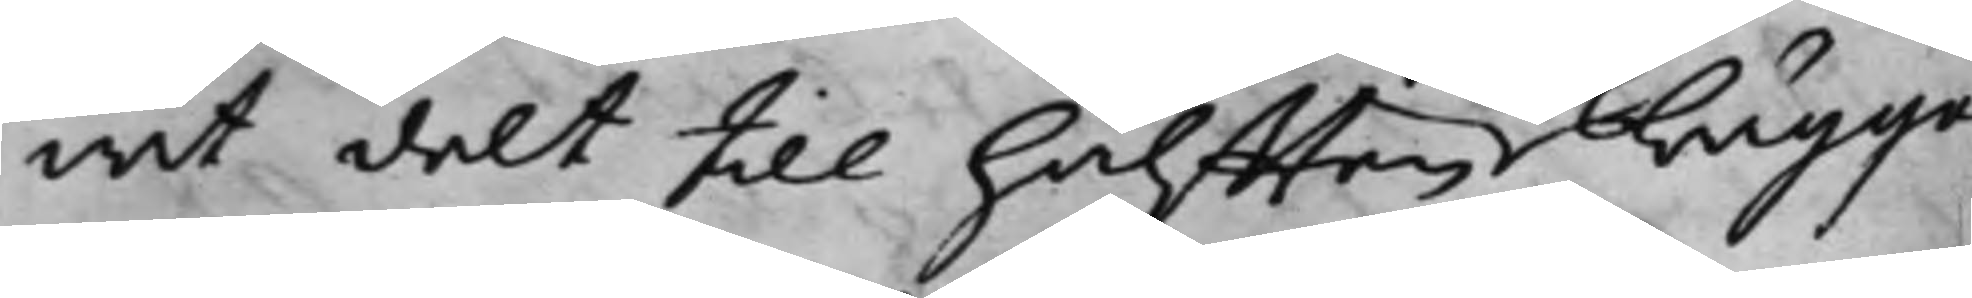wit delt till hälfften bägge
